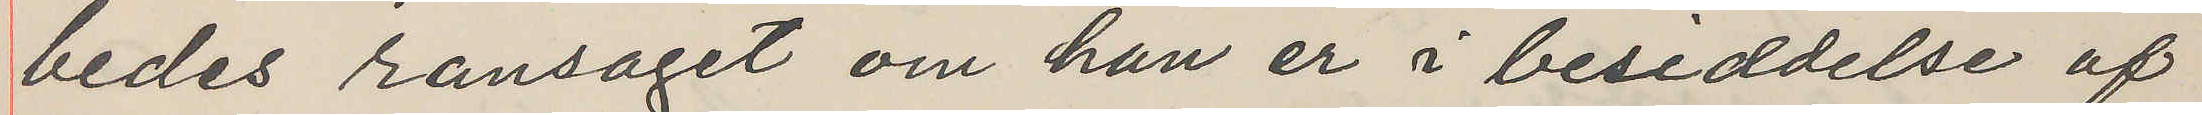bedes ransaget om han er i besiddelse af
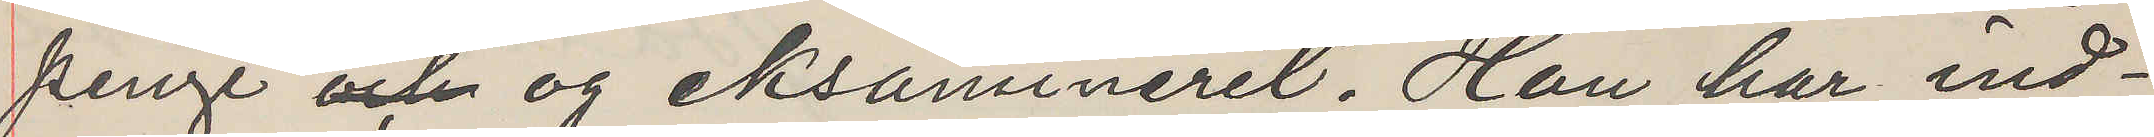penge och og eksamineret. Han har ind¬
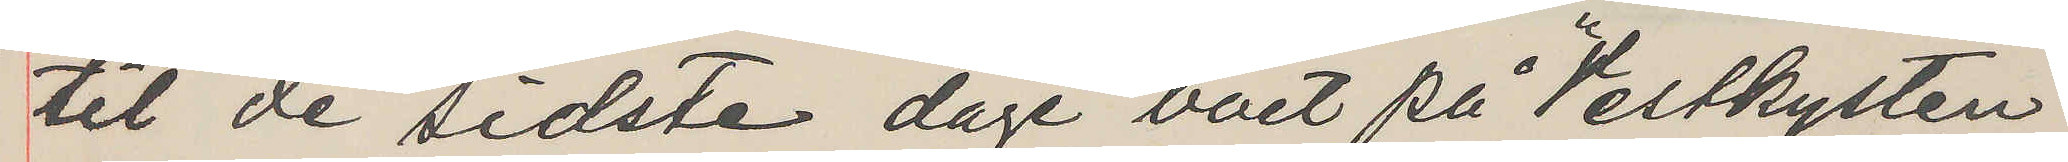til de sidste dage bott på "Vestkysten"
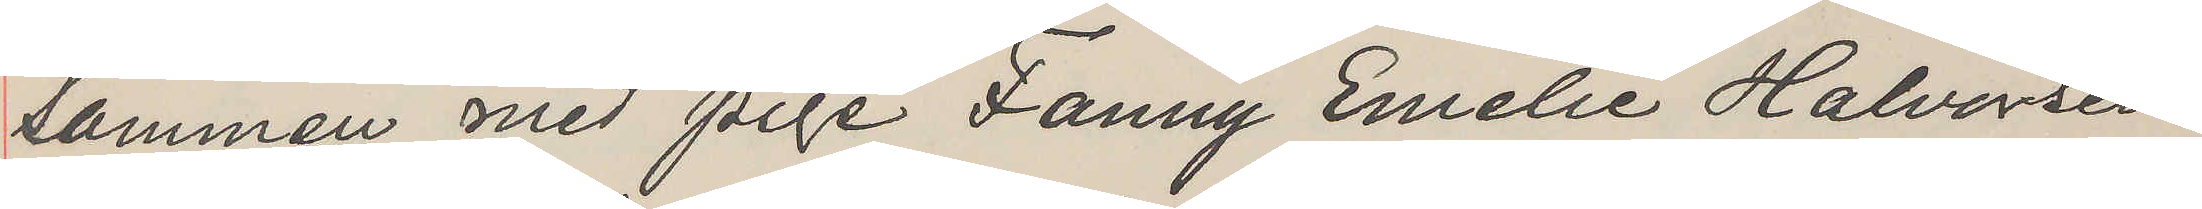sammen med pige Fanny Emelie Halversen
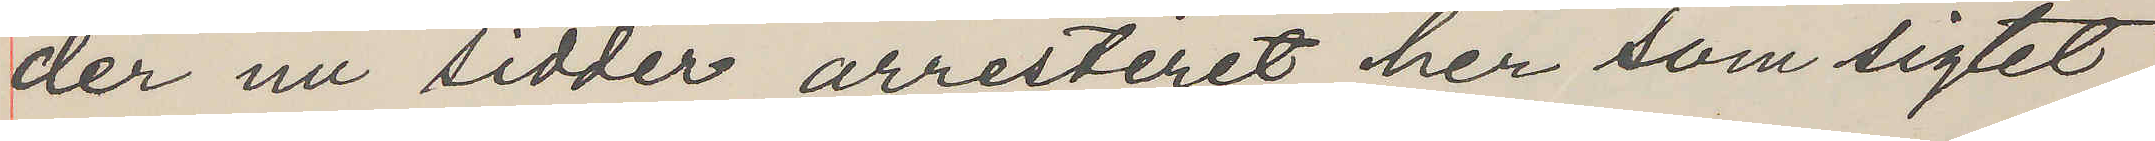der nu sidder arresteret her som sigtet
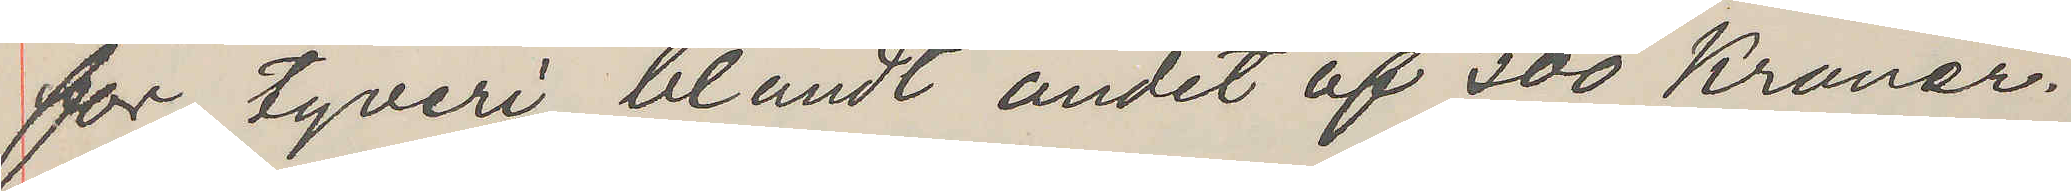for tyveri blandt andet af 300 Kroner.
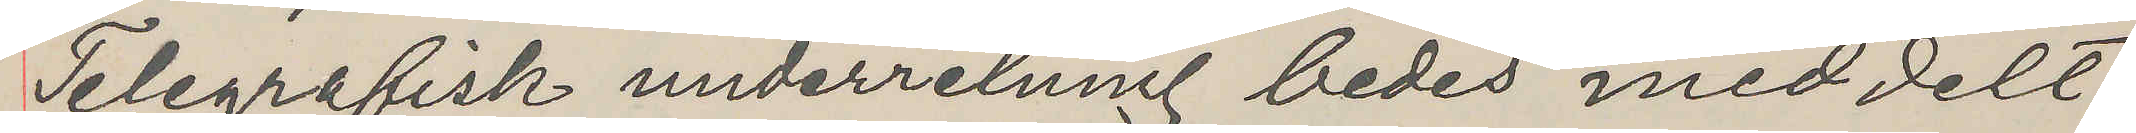Telegrafisk underretning bedes meddelt
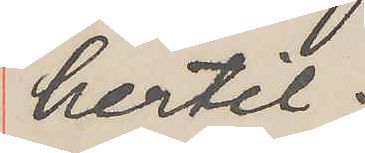hertil.
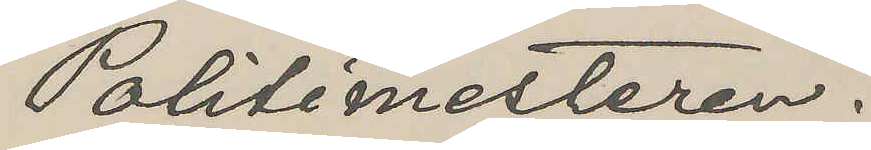Politimesteren.
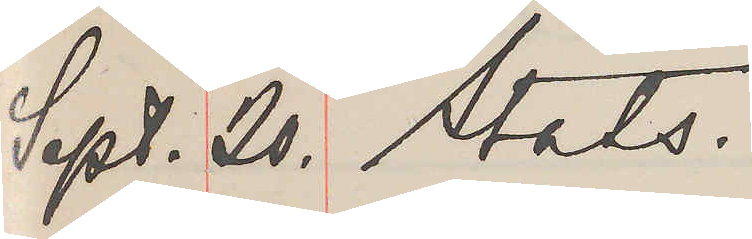Sept. 20. Stats.
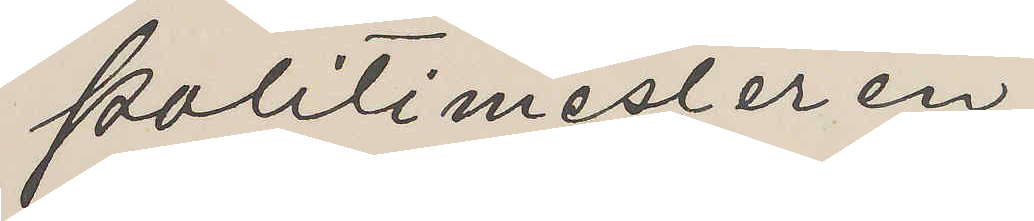Politimesteren,
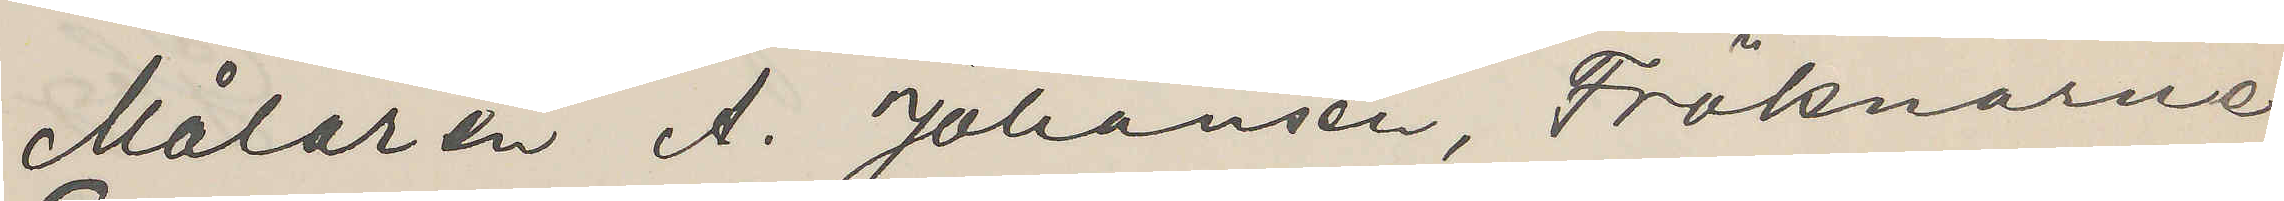Målaren A. Johansen, Fröknarna
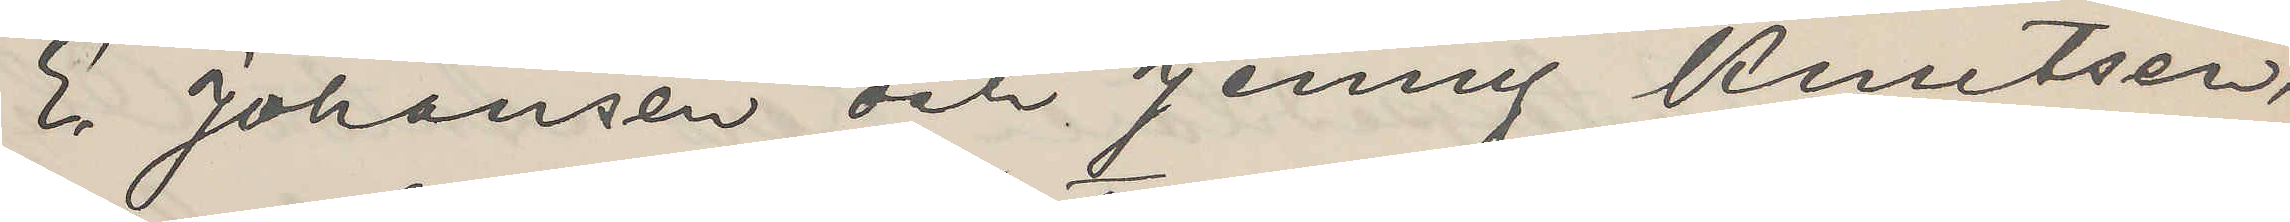E. Johansen och Jenny Knutsen,
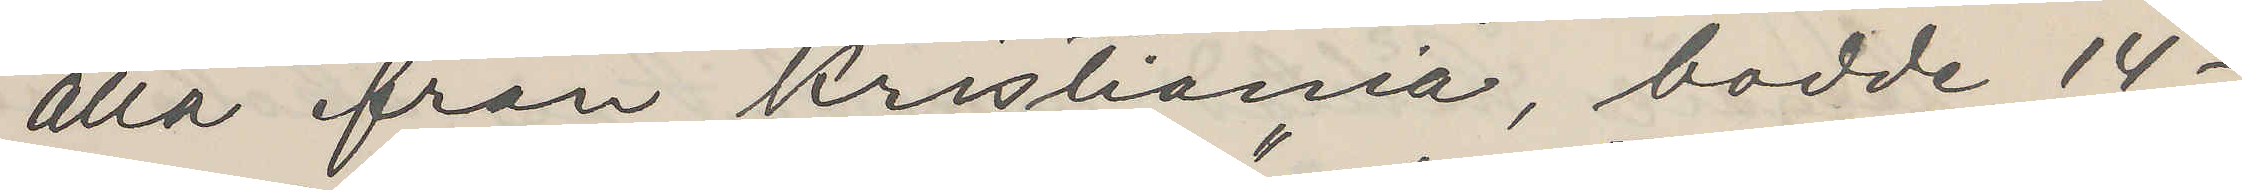alla från Kristiania, bodde 14  -
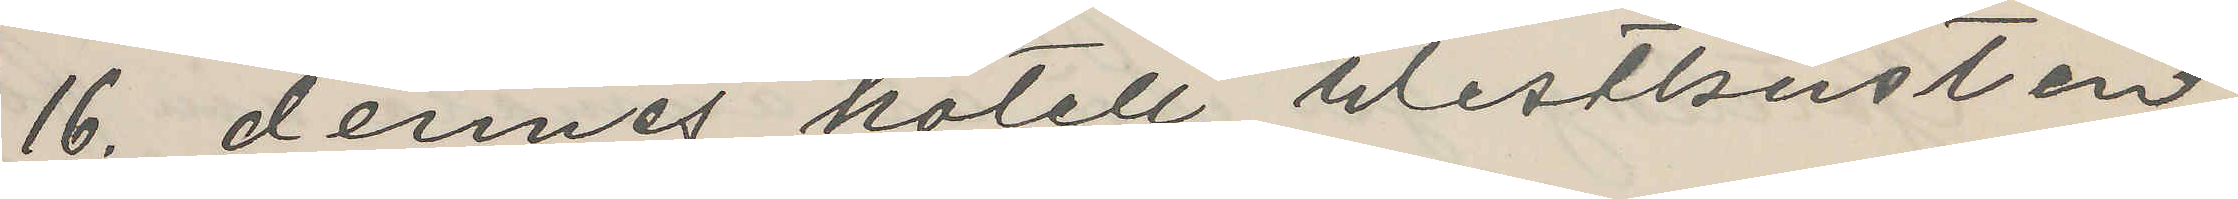16. dennes hotell "Westkusten",
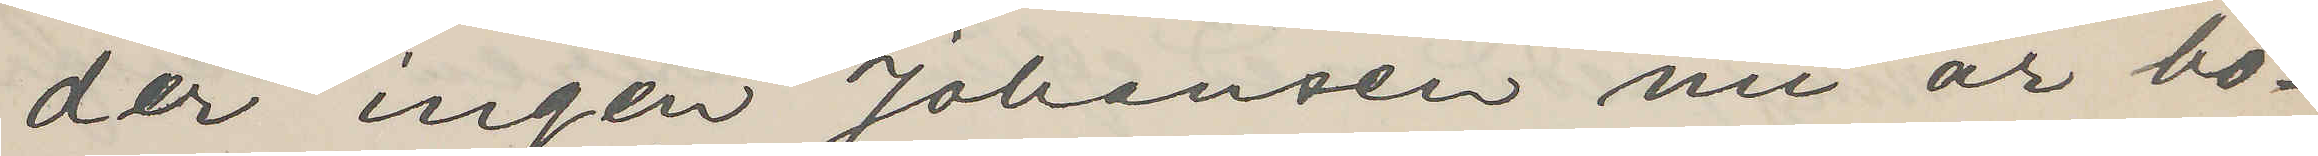der ingen Johansen nu är bo¬
